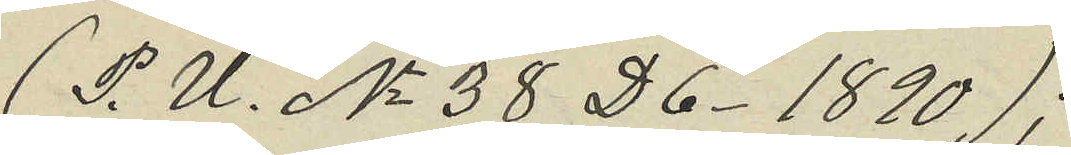(P. U. No 38 D6. 1890);
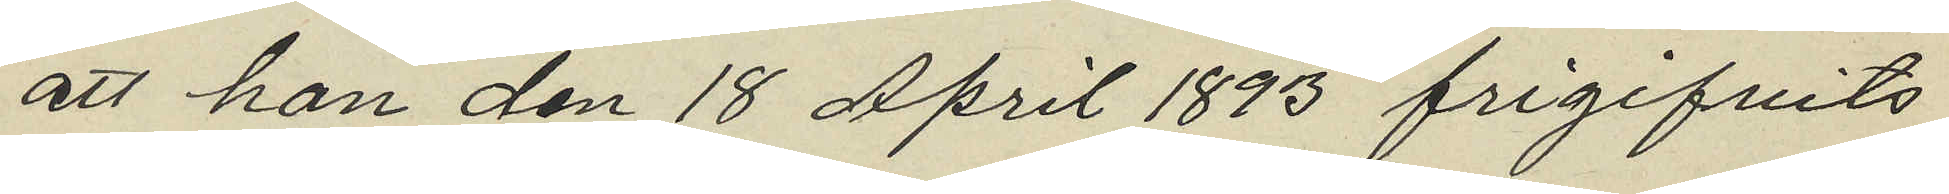att han den 18 April 1893 frigifvits
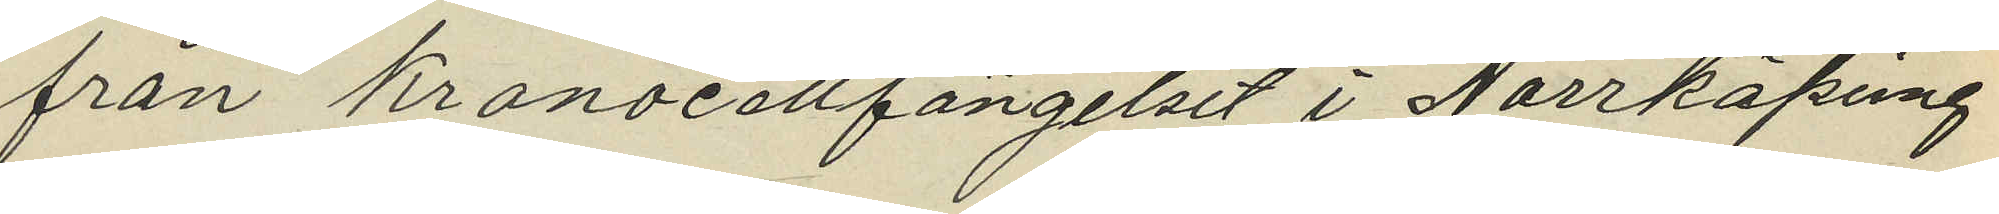från Kronocellfängelset i Norrköping
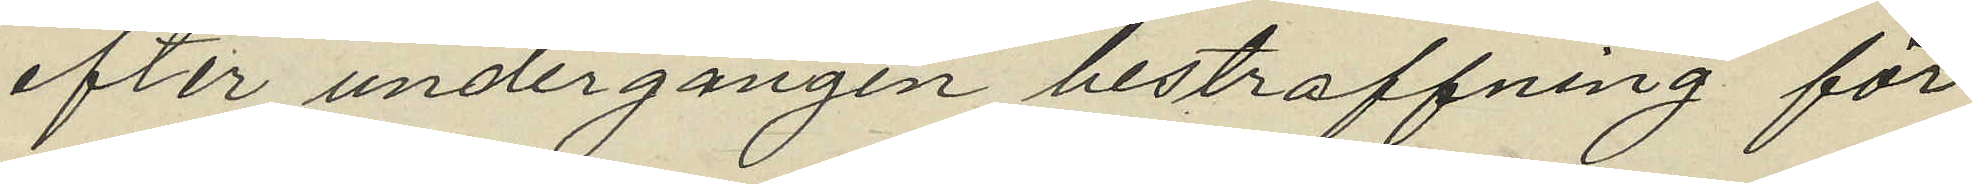efter undergången bestraffning för
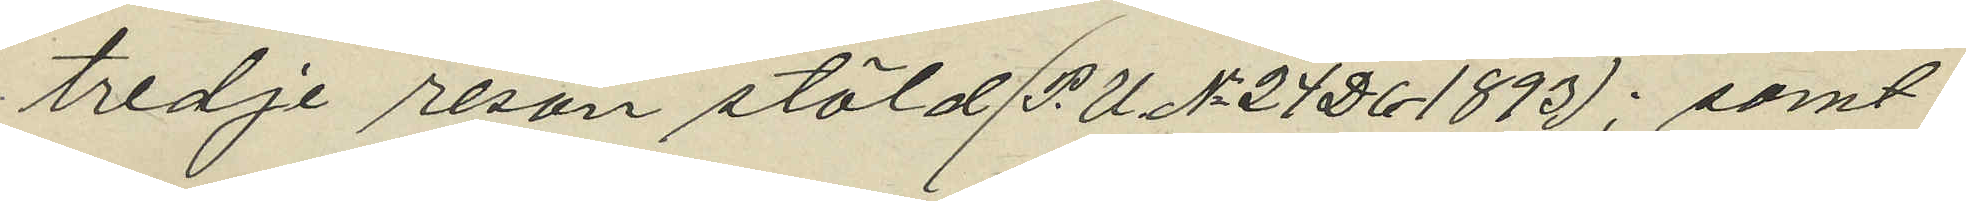tredje resan stöld (P.U No 24 D6 1893); samt
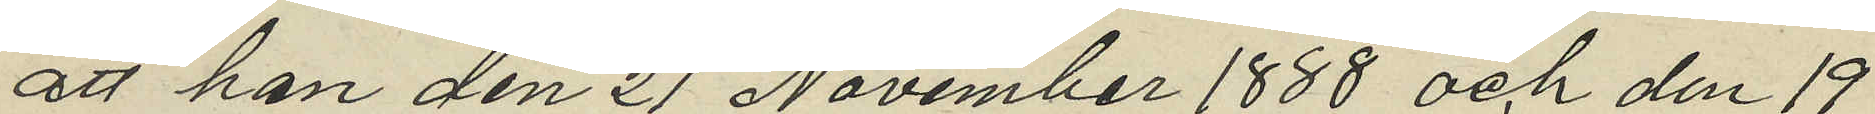att han den 21 November 1888 och den 19
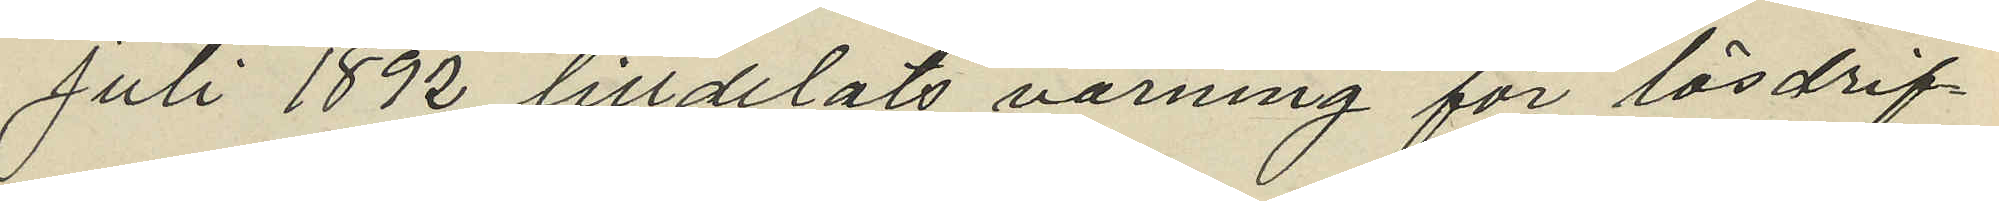juli 1892 tilldelats varning för lösdrif¬
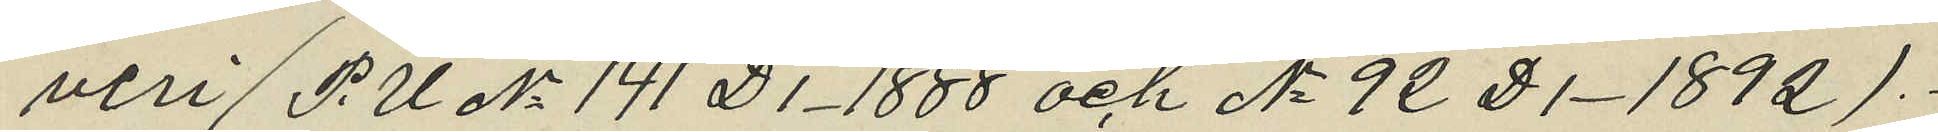veri (P.U No 141 D1. 1888 och No 92 D1. 1892).
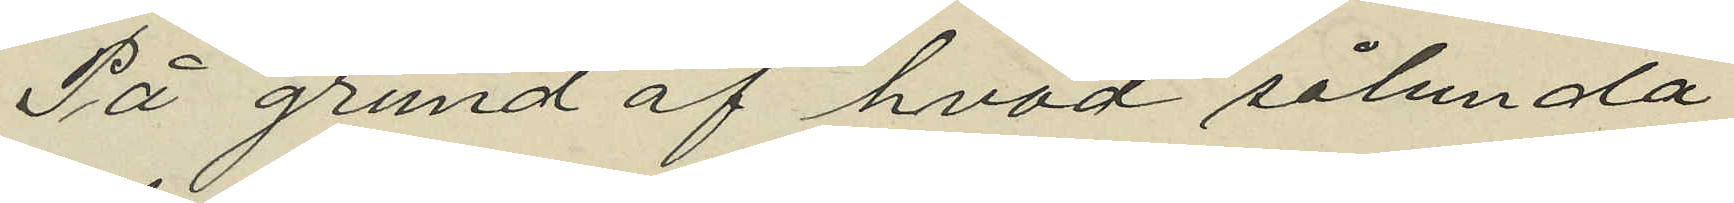På grund af hvad sålunda
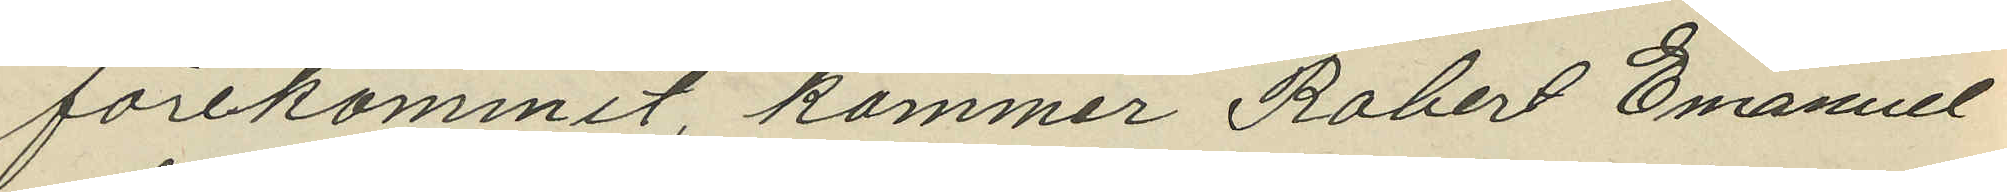förekommit, kommer Robert Emanuel
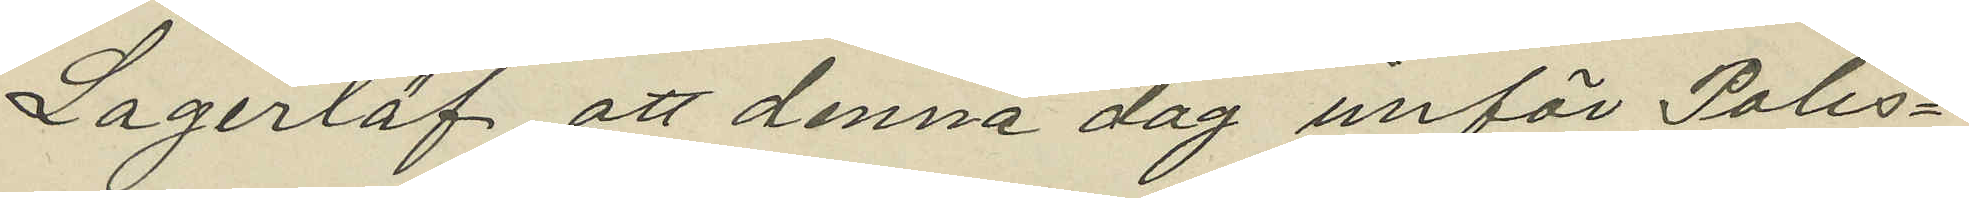Lagerlöf att denna dag inför Polis¬
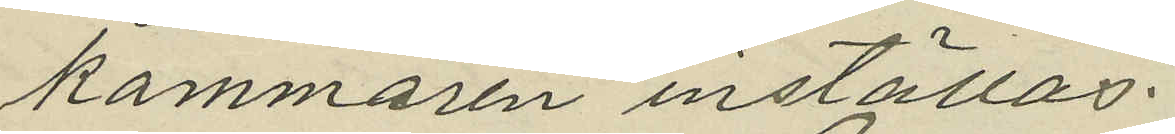kammaren inställas.
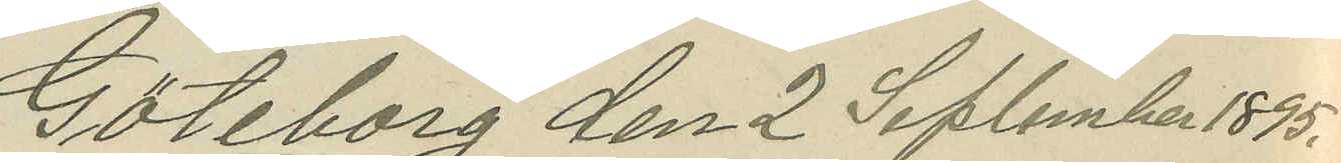Göteborg den 2 September 1895.
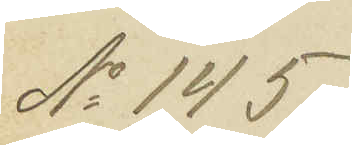No 145.
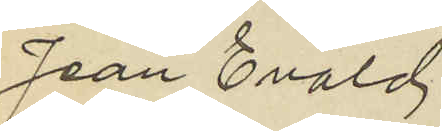Jean Evald
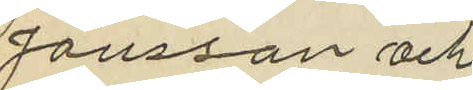Jönsson och
